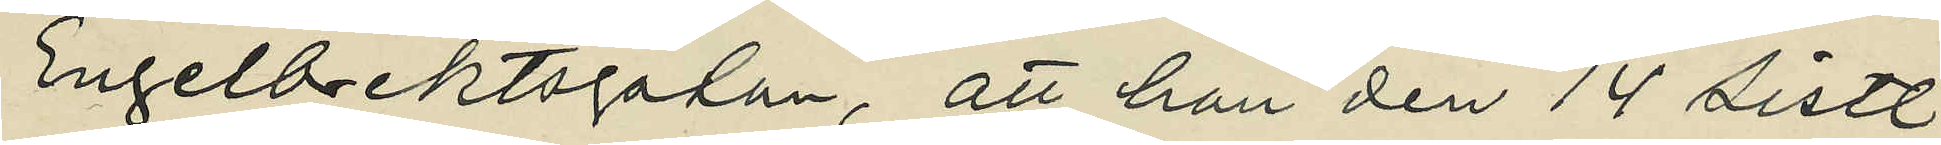Engelbrektsgatan, att han den 14 sistl.
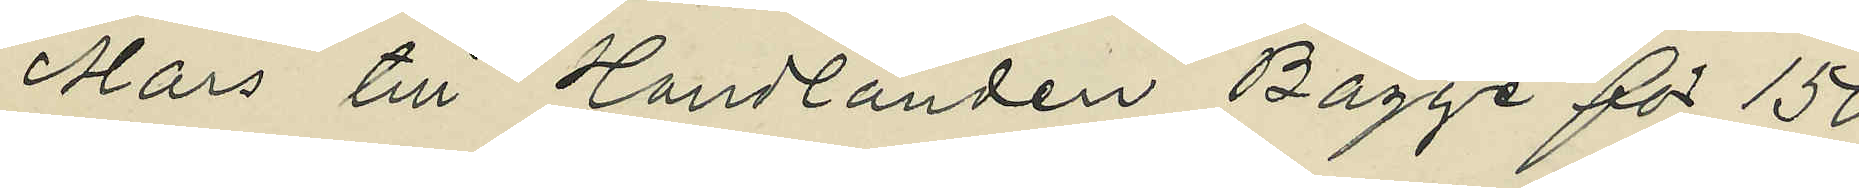Mars till Handlanden Bagge för 150
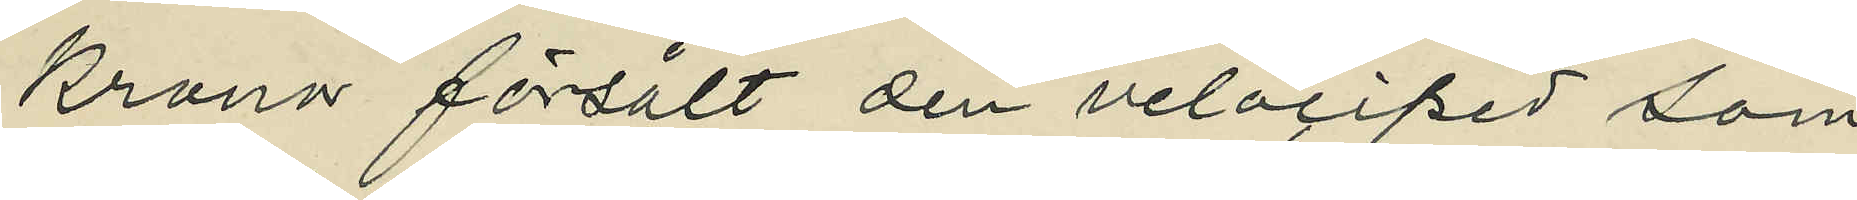kronor försålt den velociped som
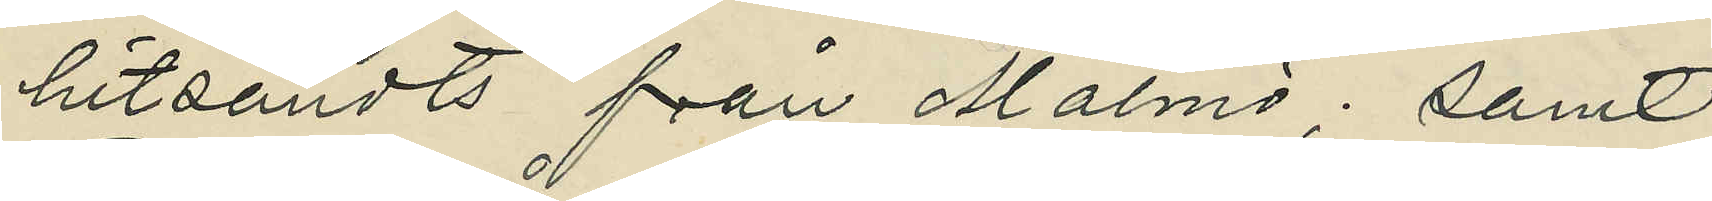hitsändts från Malmö; samt
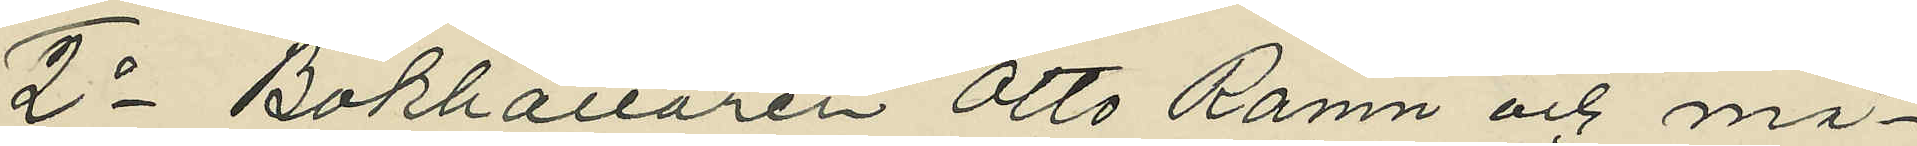2o Bokhållaren Otto Ramn och må¬
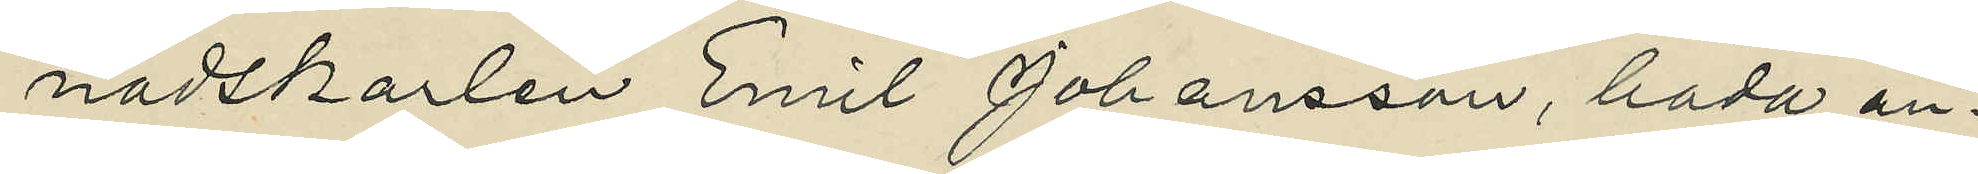nadskarlen Emil Johansson, båda an¬
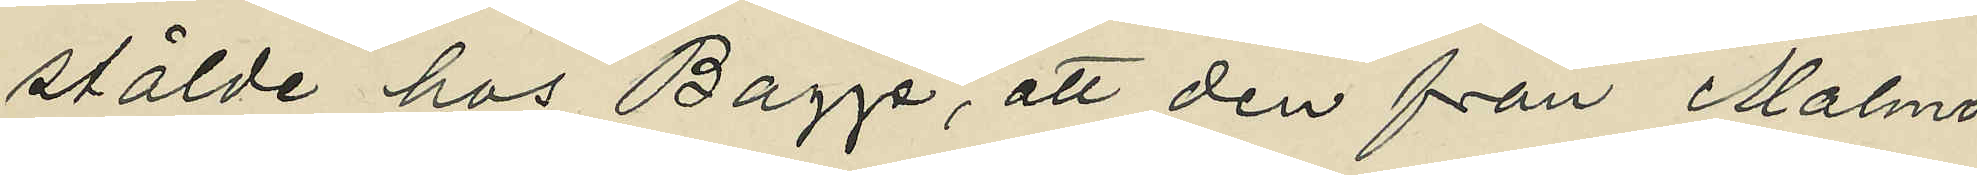stälde hos Bagge, att den från Malmö
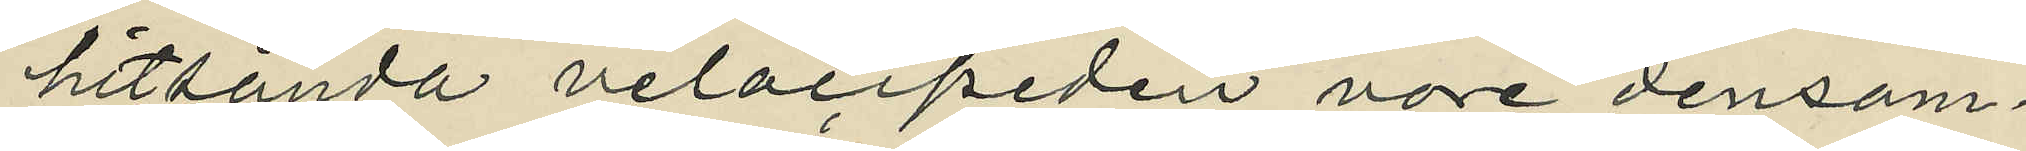hitsända velocipeden vore densam¬
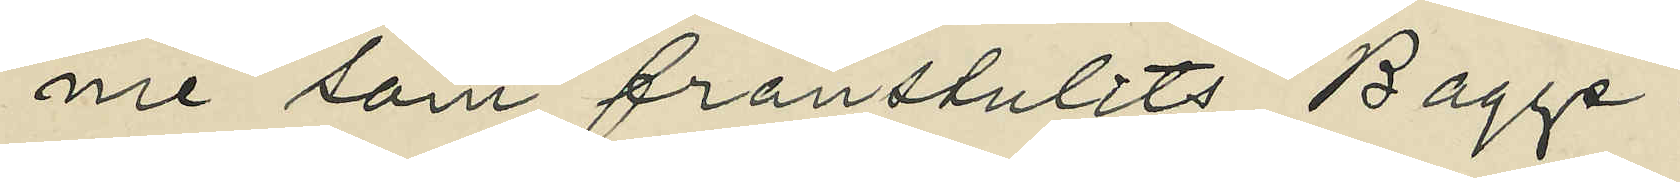me som frånstulits Bagge.
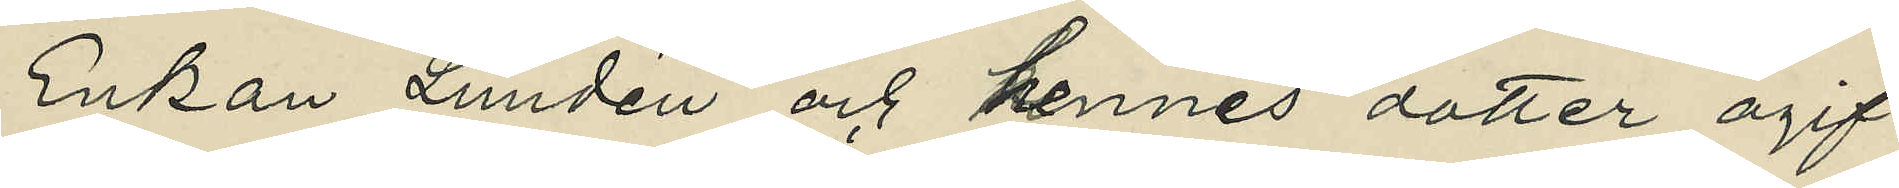Enkan Lundén och hennes dotter ogif¬
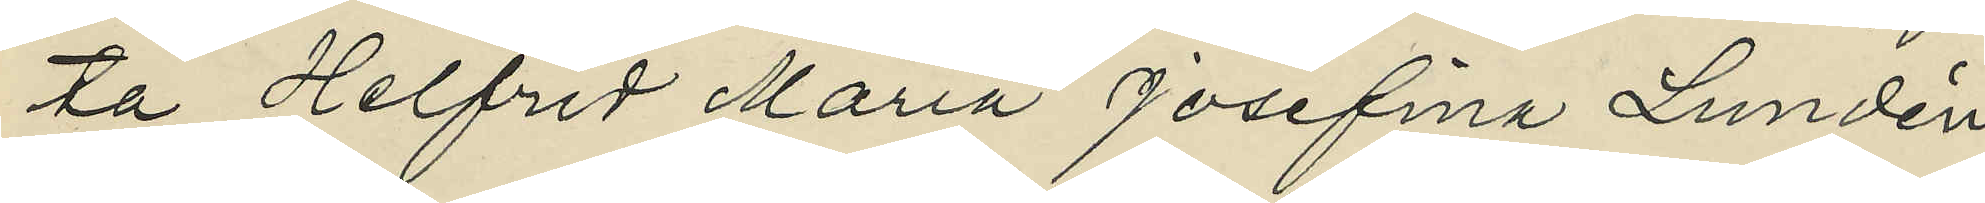ta Helfrid Maria Josefina Lundén,
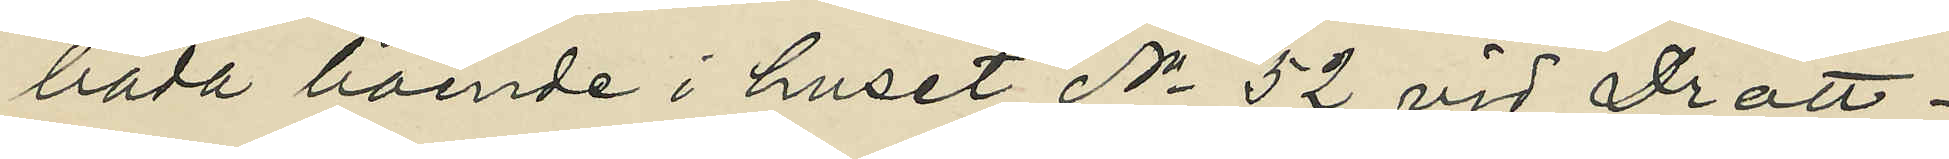båda boende i huset No 52 vid Drott¬
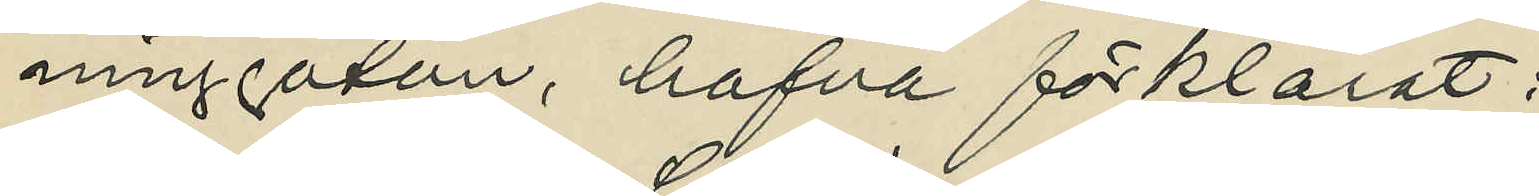ninggatan, hafva förklarat :
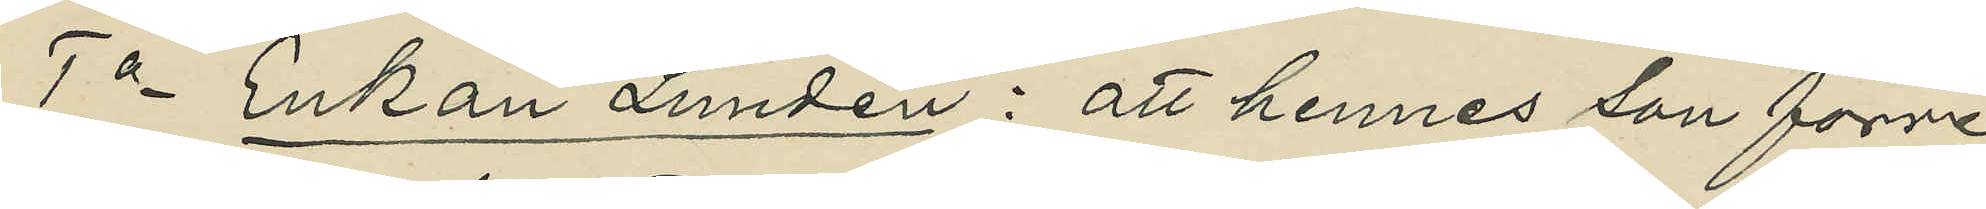1o Enkan Lundén: att hennes son förre
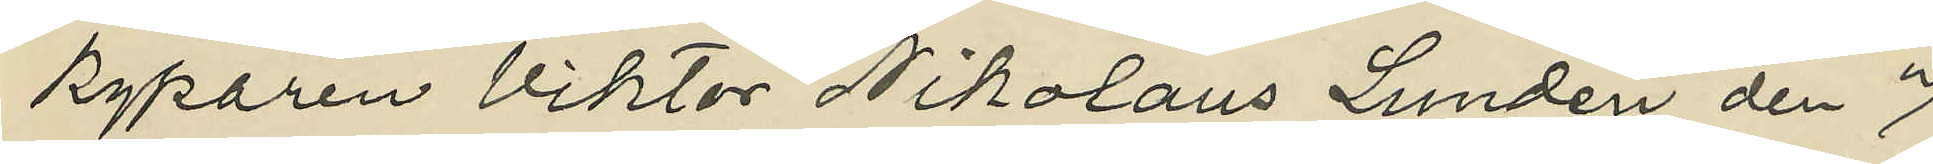kyparen Viktor Nikolaus Lundén den 7
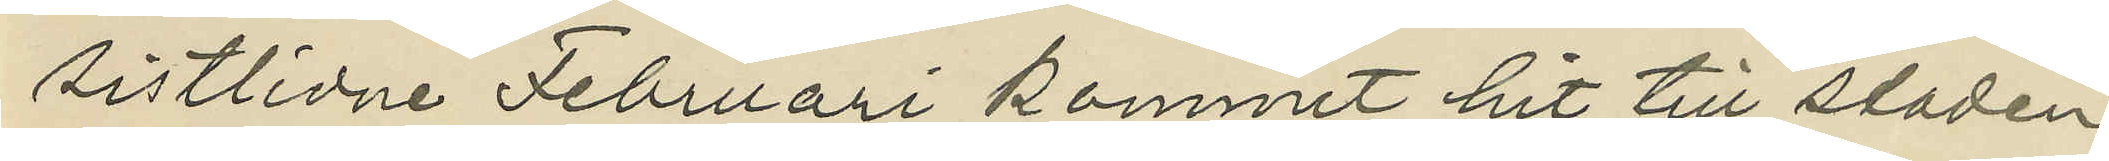sistlidne Februari kommit hit till staden
